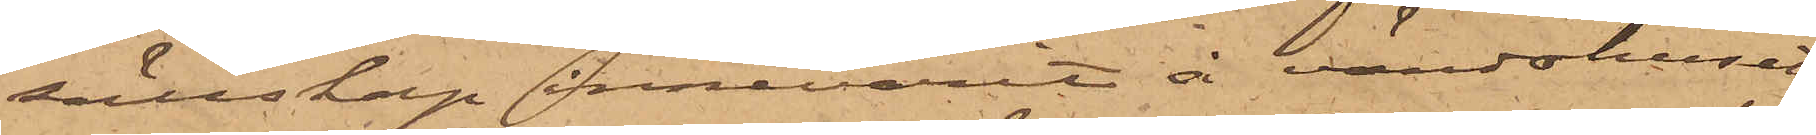sällskap innevarit å värdshuset
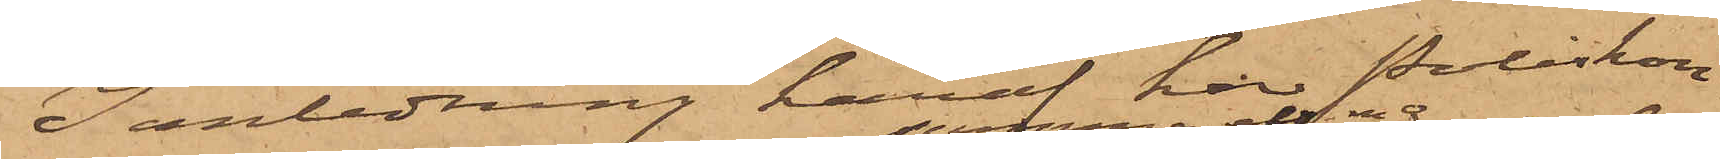I anledning häraf har Poliskon¬
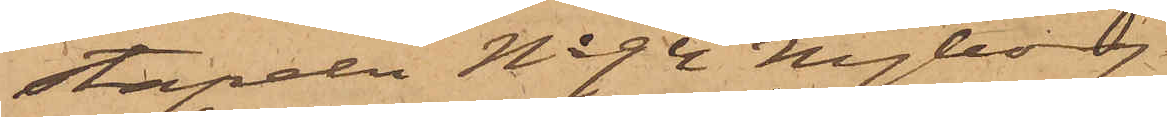stapeln No 94 Nyborg
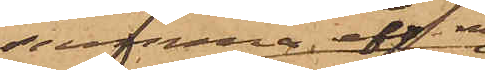samma eft. m.
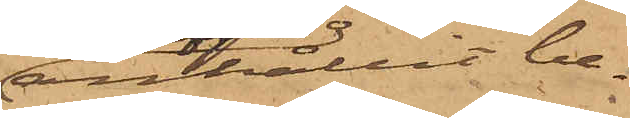anhållit be¬
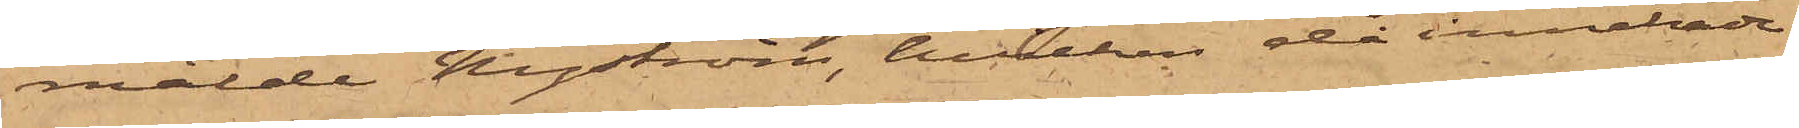mälde Nyström, hvilken då innehade
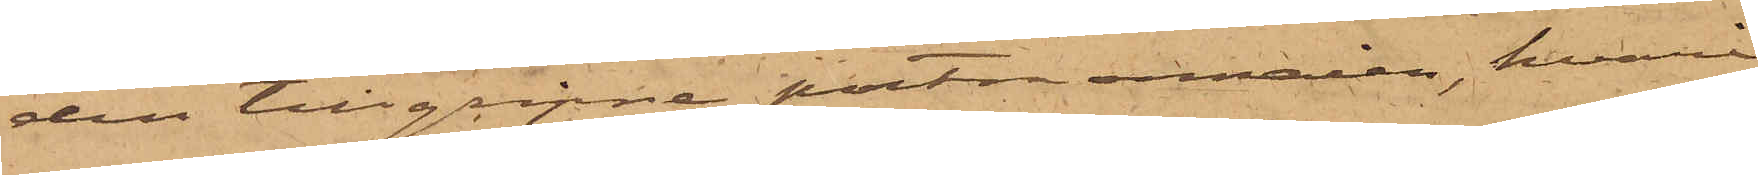den tillgripne portmonnaien, hvari
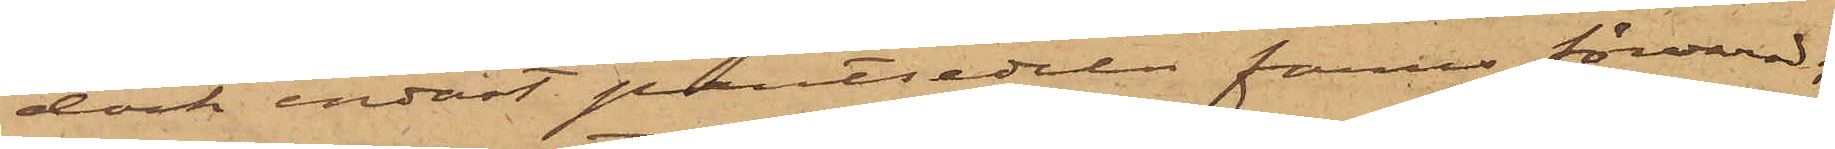dock endast pantsedeln fanns förvarad;
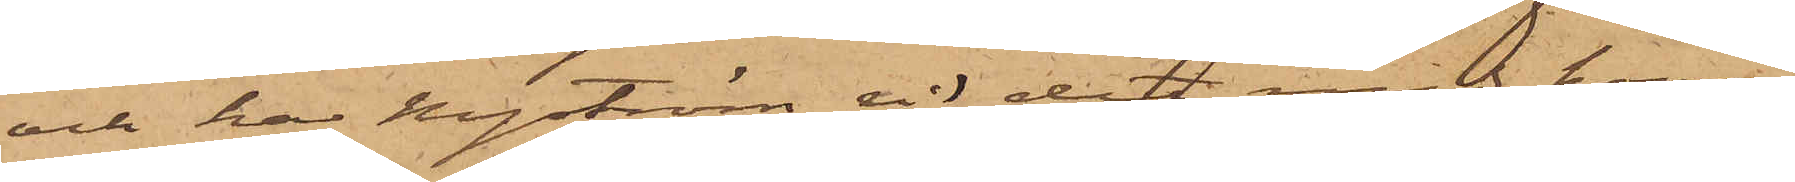och har Nyström vid det med honom
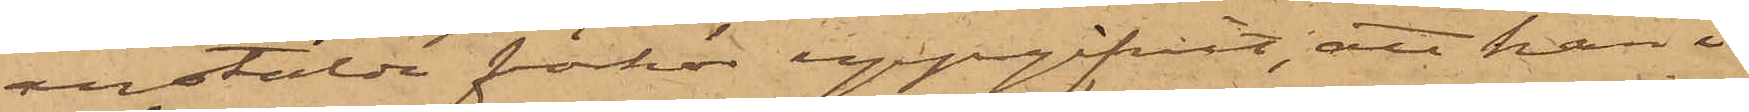anstälda förhör uppgifvit, att han i
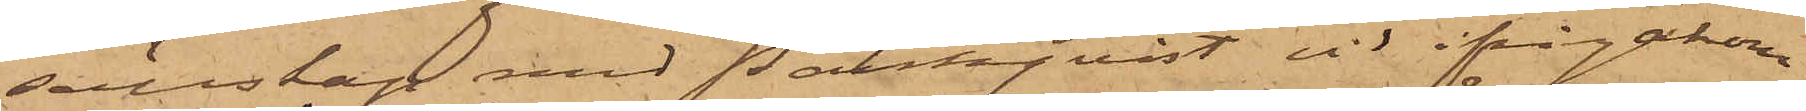sällskap med Palmqvist, vid ifrågakom¬
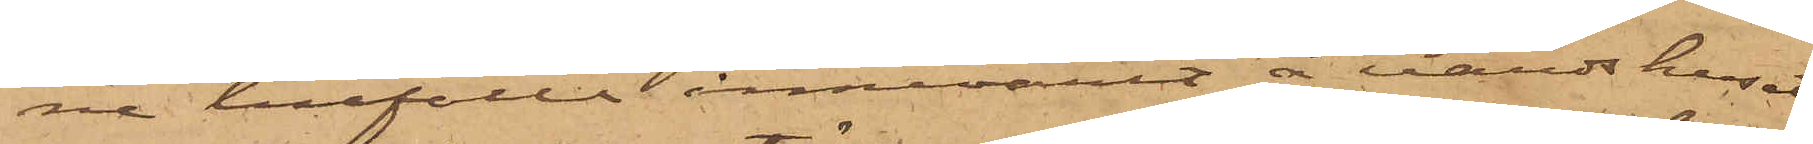ne tillfälle innevarit å värdshuset,
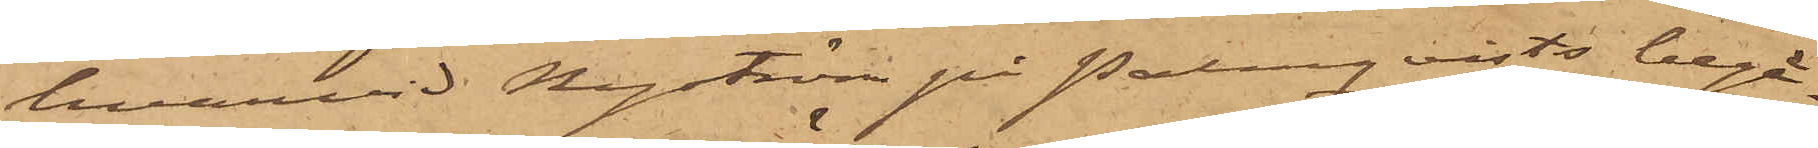hvarvid Nyström på Palmqvists begär¬
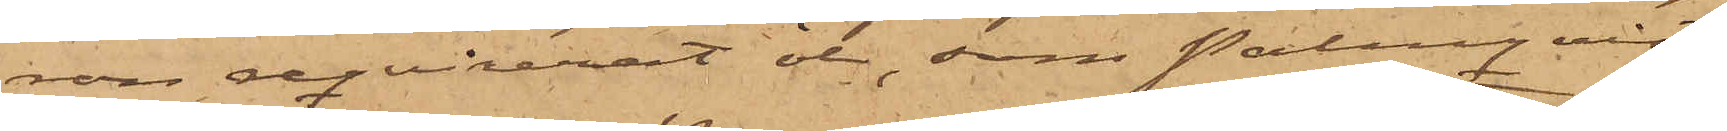ran reqvirerat öl, som Palmquist
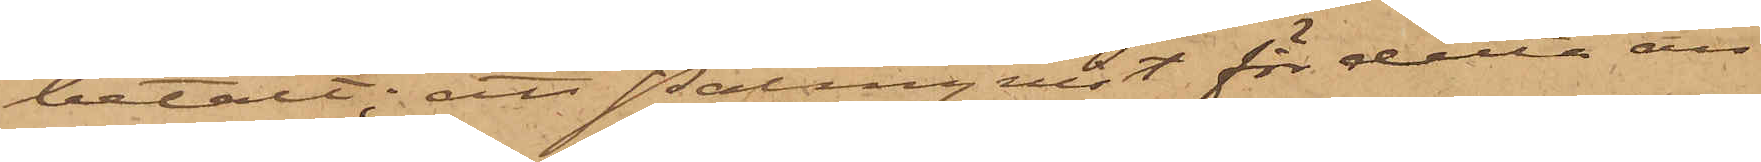betalt; att Palmqvist för detta än¬
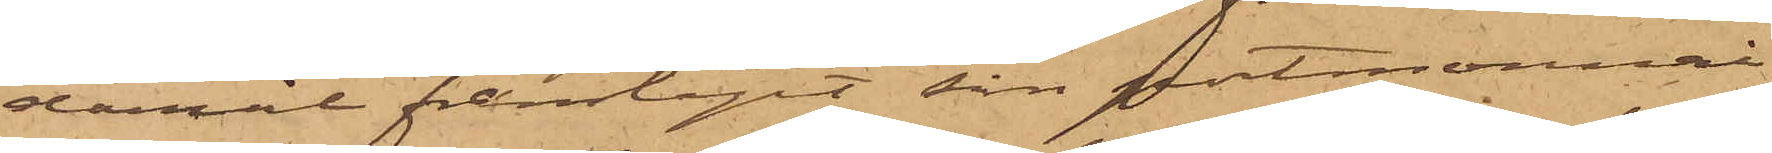damål framtagit sin portmonnai
